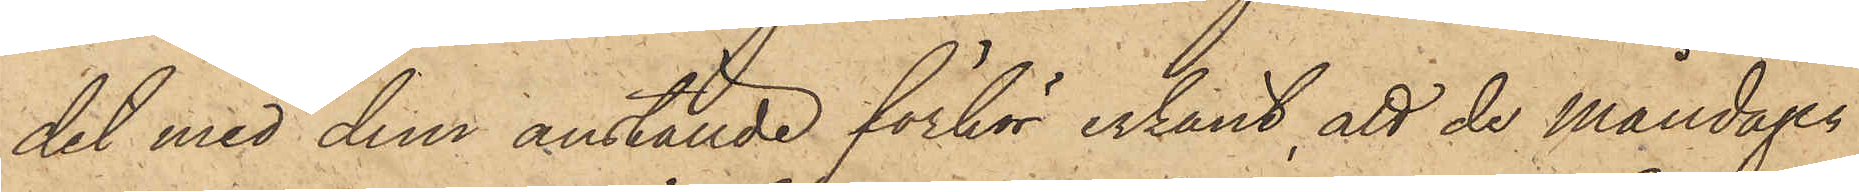det med dem anställde förhör erkänt, att de måndagen
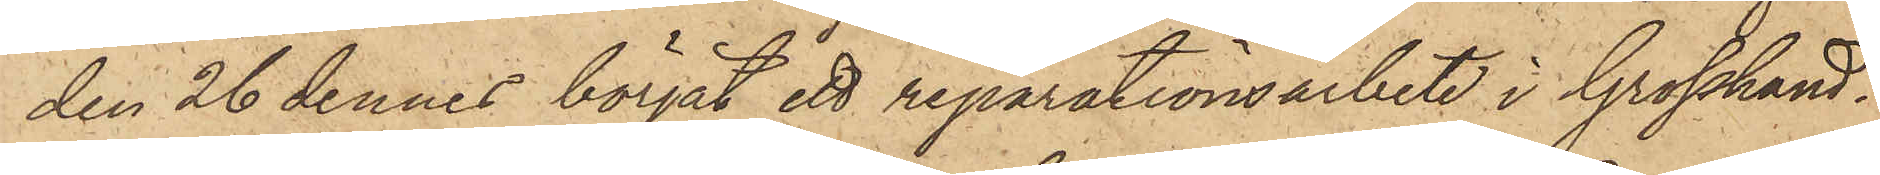den 26 dennes börjat ett reparationsarbete i Grosshand¬
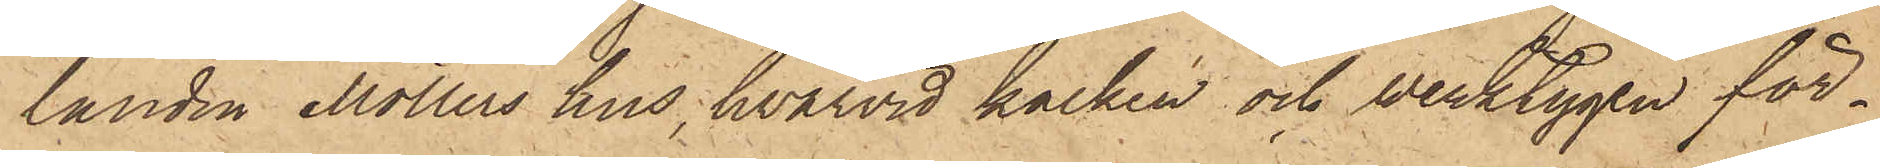landen Möllers hus, hvarvid kalken och verktygen för¬
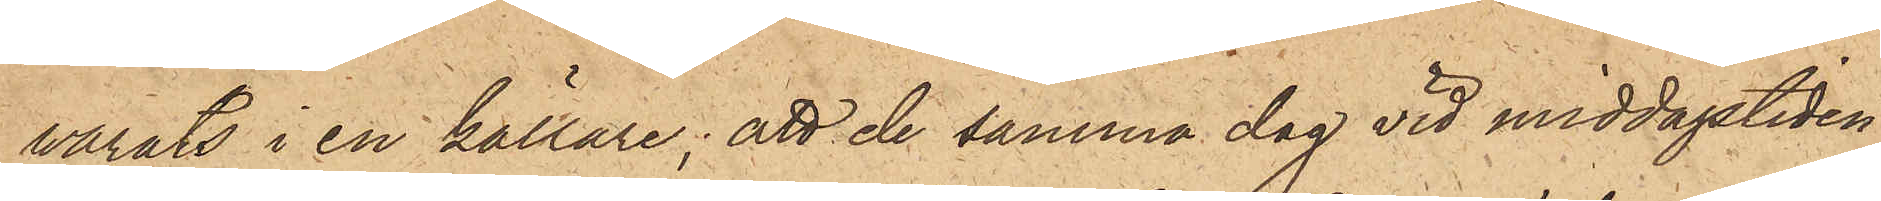varats i en källare; att de samma dag vid middagstiden
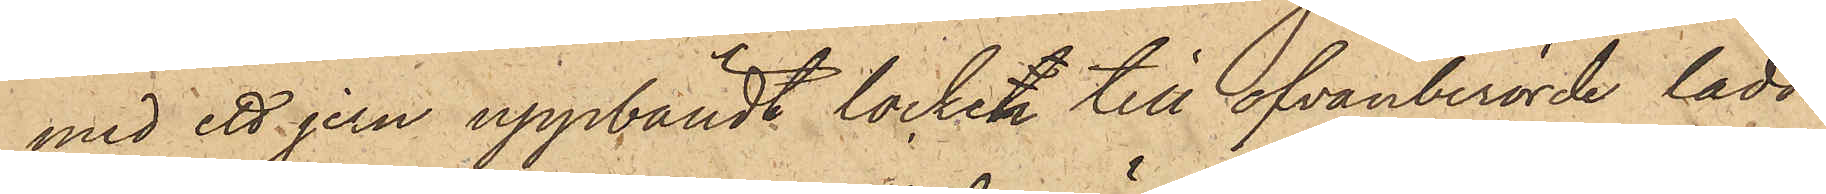med ett jern uppbändt locken till ofvanberörde lådor
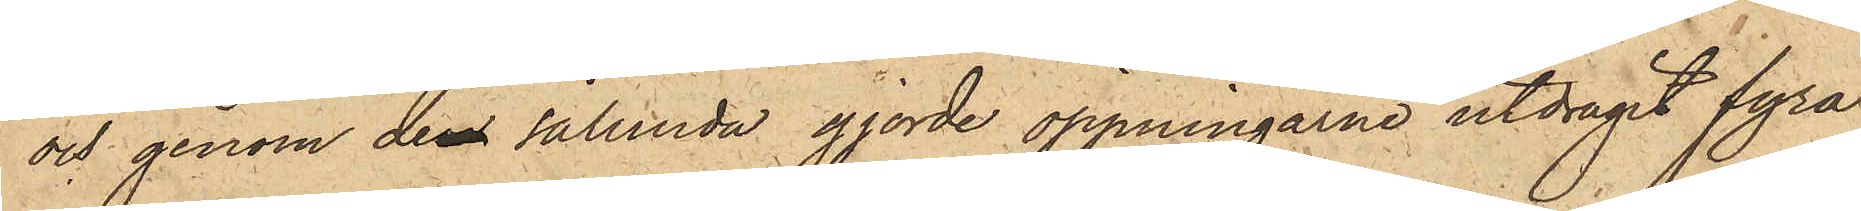och genom den sålunda gjorde öppningarne utdragit fyra
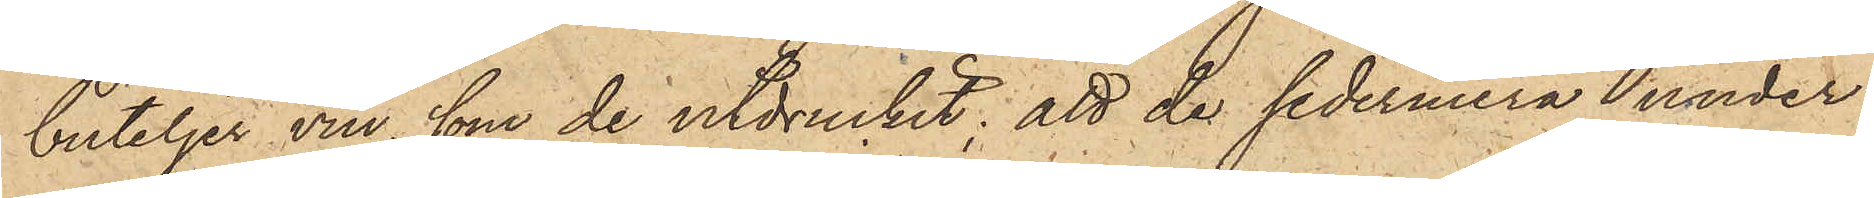buteljer vin, som de utdruckit; att de sedermera under
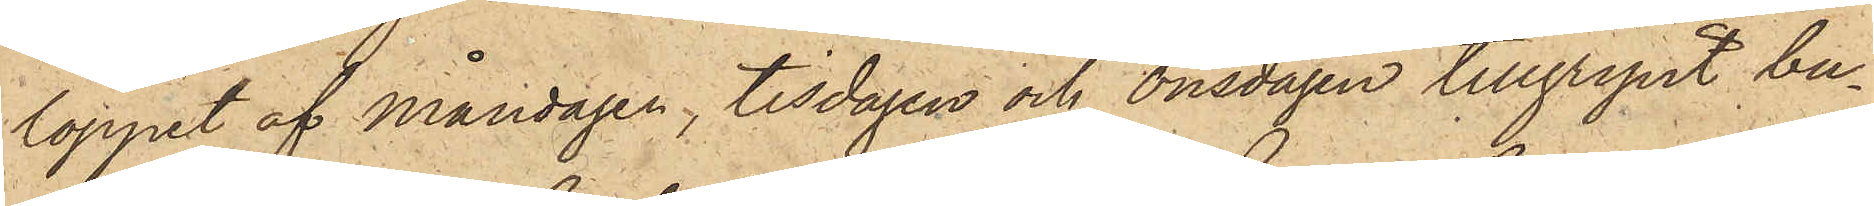loppet af måndagen, tisdagen och onsdagen tillgripit bu¬
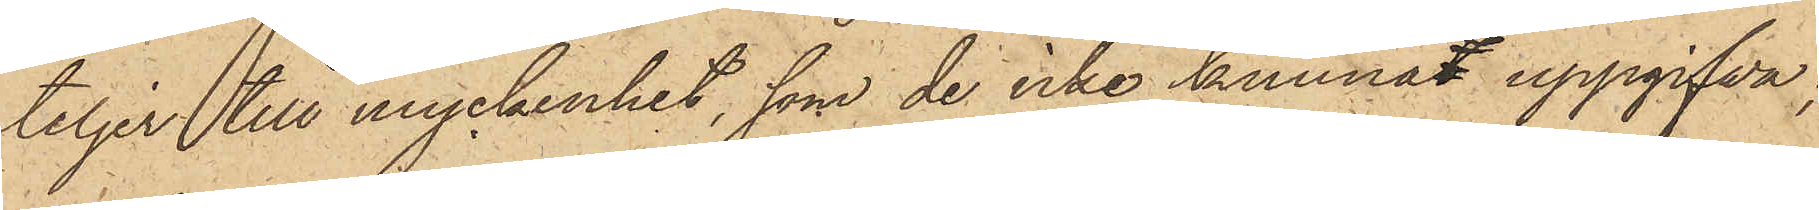teljer till myckenhet, som de icke kunnat uppgifva;
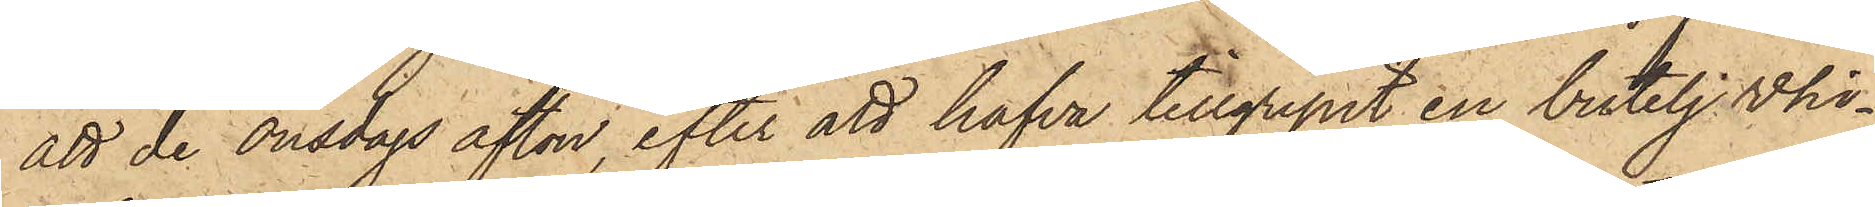att de onsdags afton, efter att hafva tillgripit en butelj whi¬
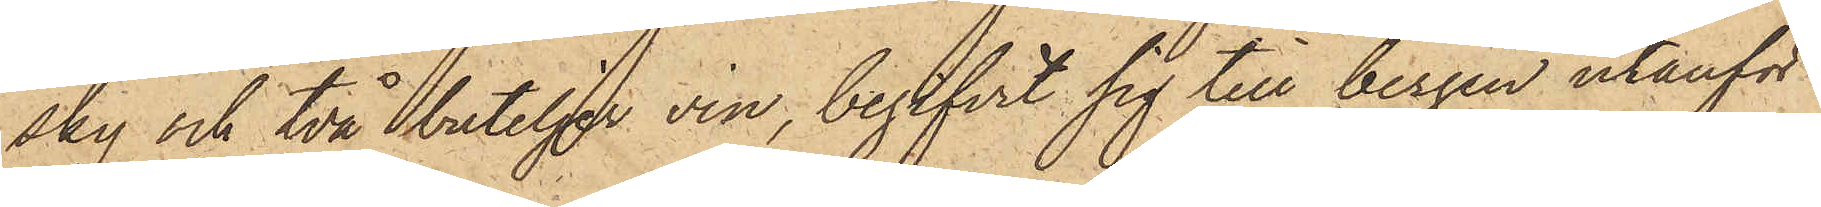sky och två buteljer vin, begifvit sig till bergen utanför
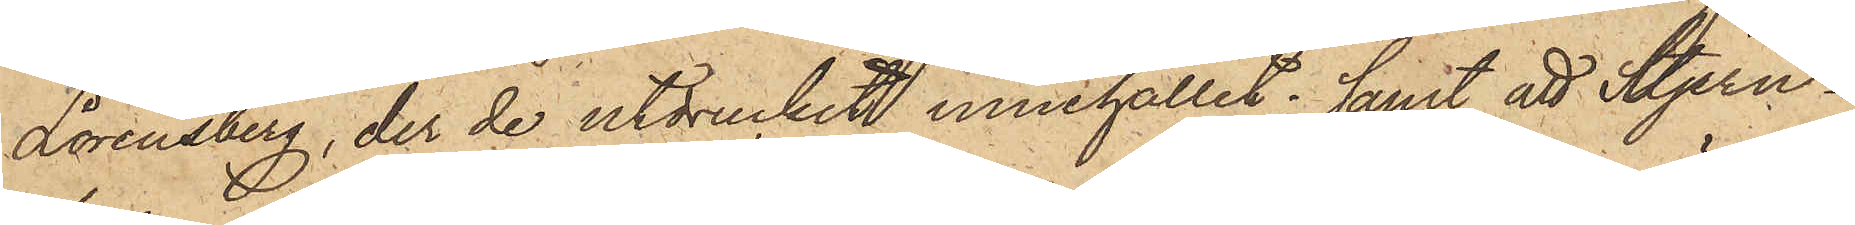Lorensberg, der de utdruckit innehållit; samt att Stjern¬
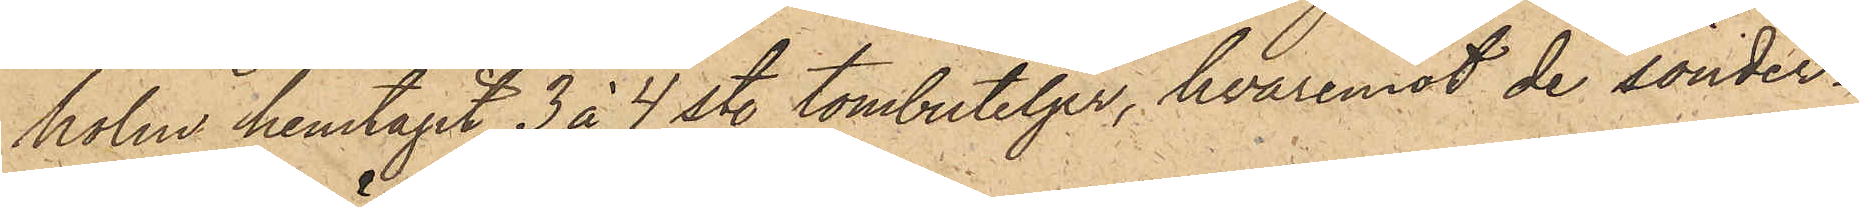holm hemtagit 3 à 4 sty. tombuteljer, hvaremot de sönder¬
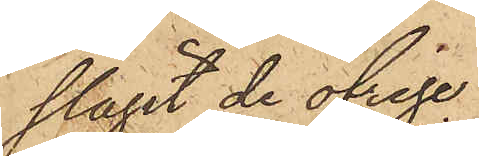slagit de öfrige.
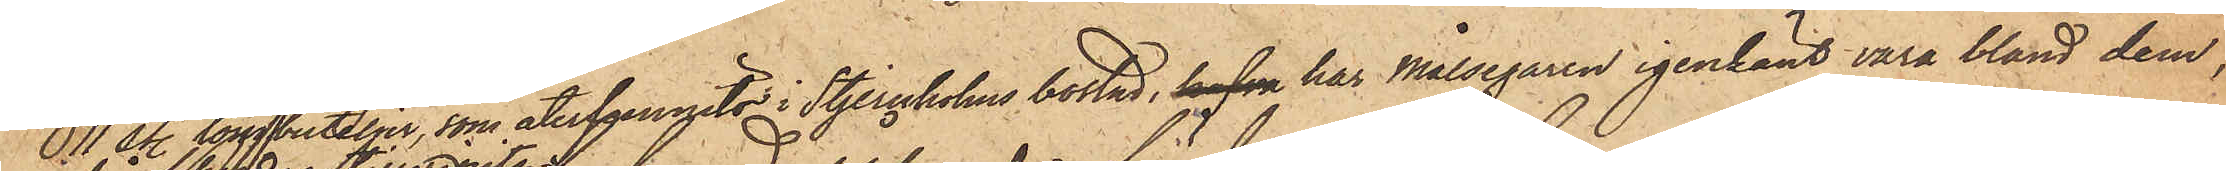11 sty. tombuteljer, som återfunnits i Stjernholms bostad, hafva har Målsegaren igenkänt vara bland dem,
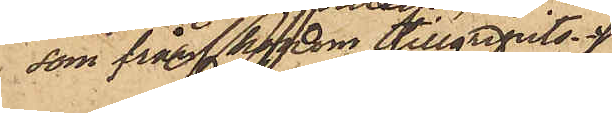som från honom tillgripits.
